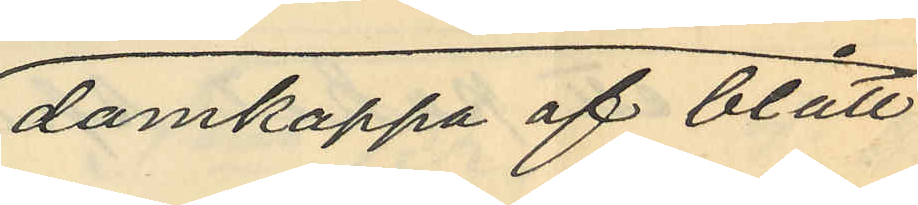damkappa af blått
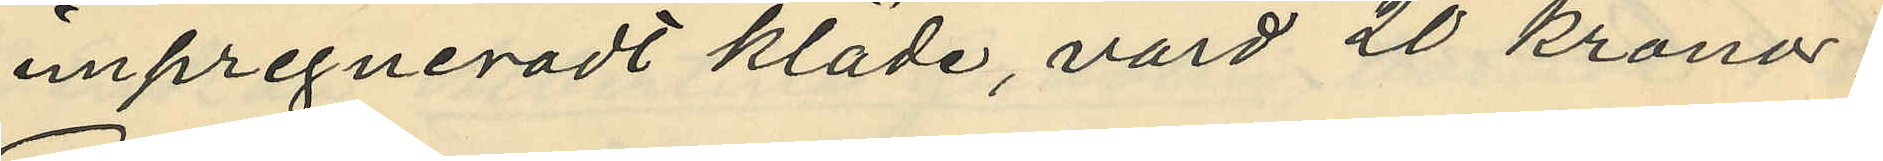impregneradt kläde, värd 20 kronor;
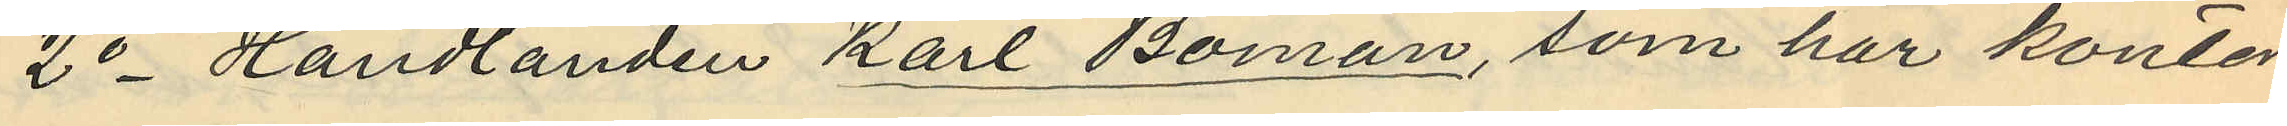2o Handlanden Karl Boman, som har kontor
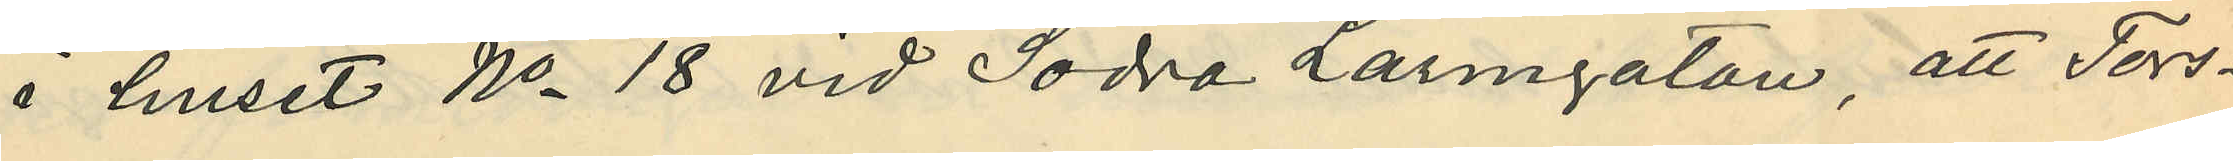i huset No 18 vid Södra Larmgatan, att Tors¬
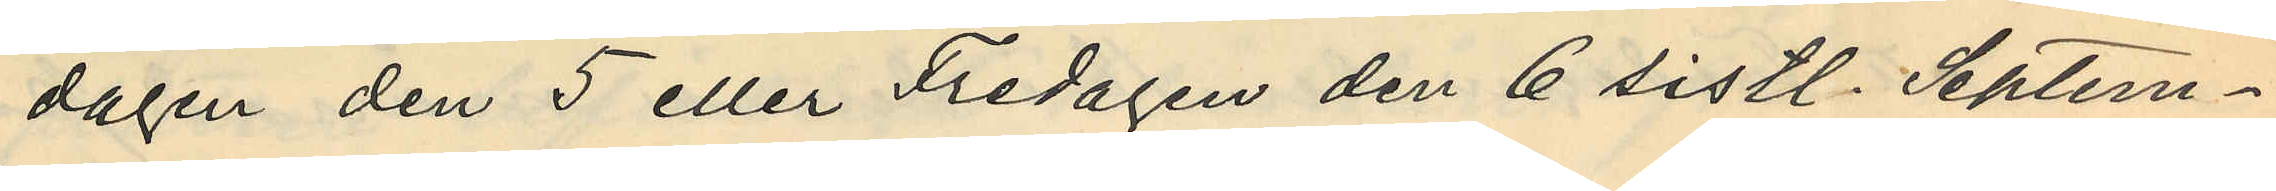dagen den 5 eller Fredagen den 6 sistl. Septem¬
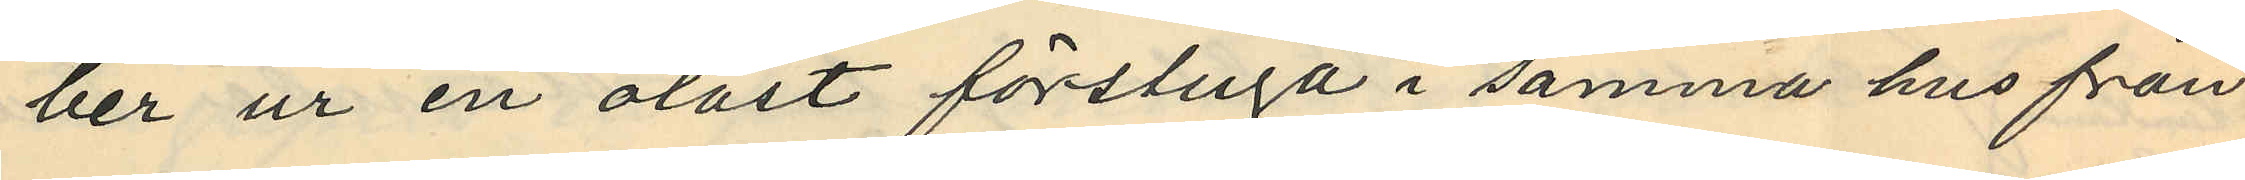ber ur en olåst förstuga i samma hus från
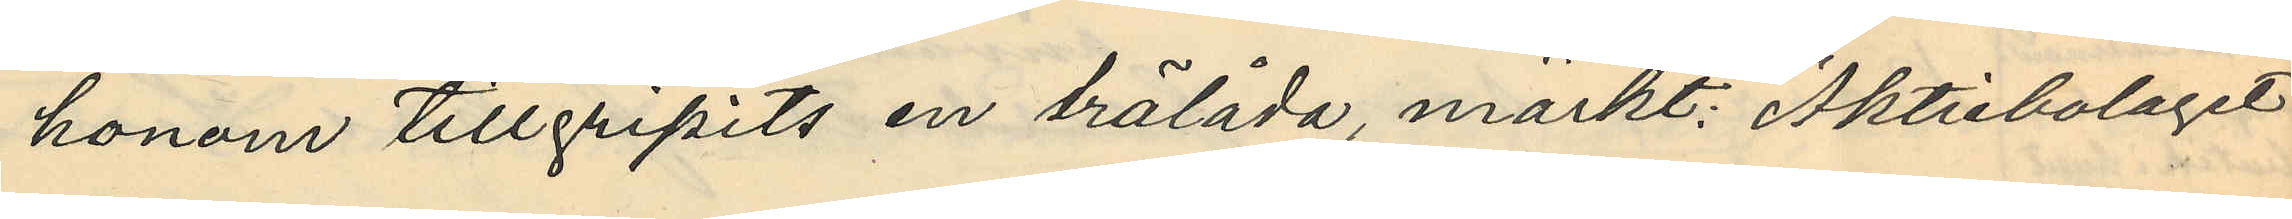honom tillgripits en trälåda, märkt: "Aktiebolaget
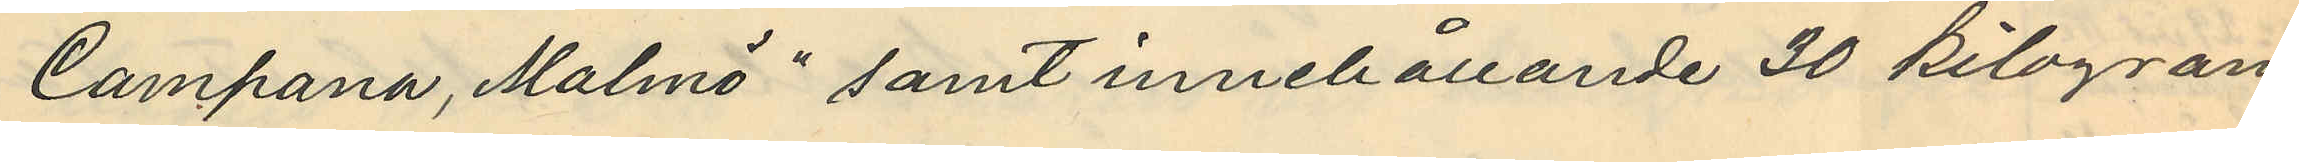Campana, Malmö" samt innehållande 30 kilogram
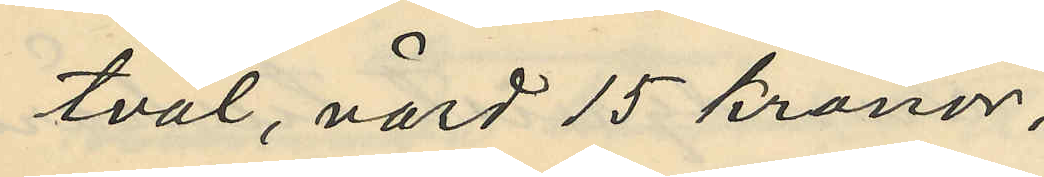tvål, värd 15 kronor;
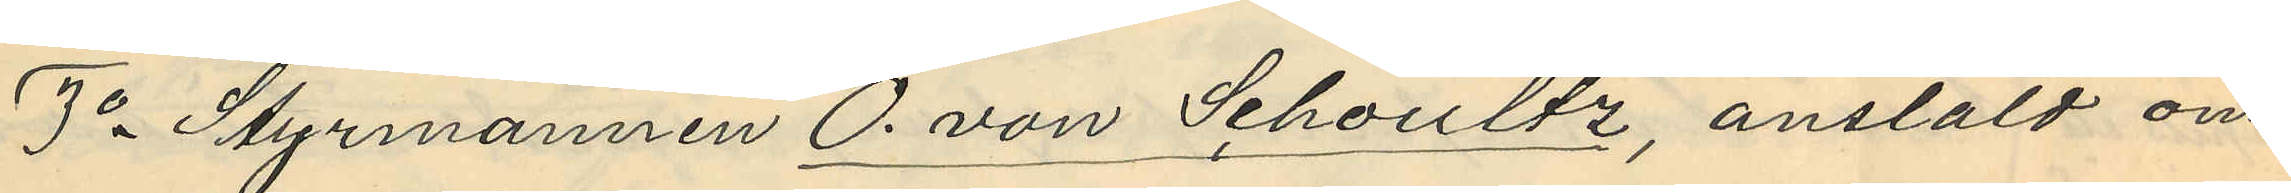3o Styrmannen O. von Schoultz, anstäld om¬
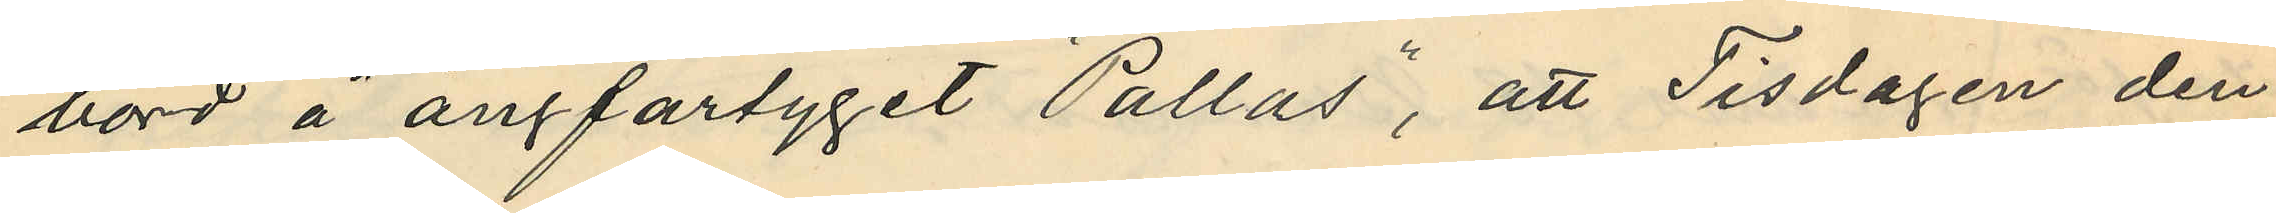bord å ångfartyget "Pallas", att Tisdagen den
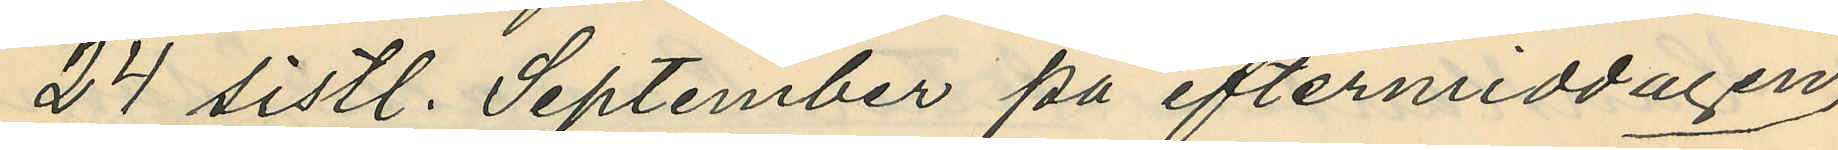24 sistl. September på eftermiddagen
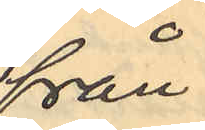från
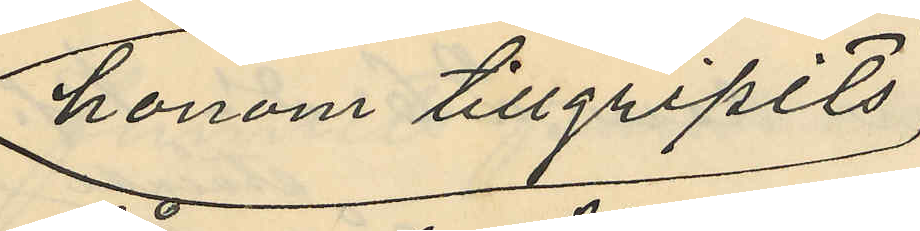honom tillgripits
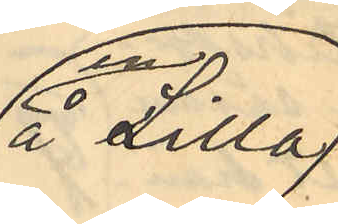en å Lilla
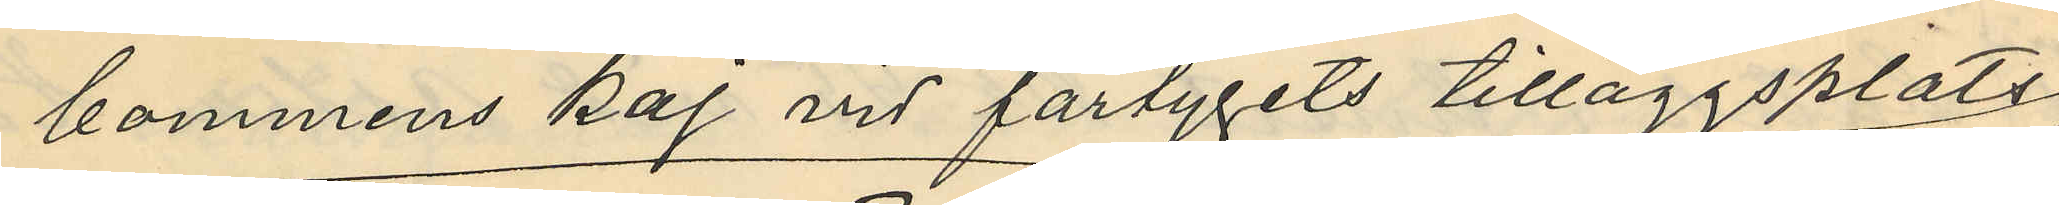bommens kaj vid fartygets tilläggsplats
